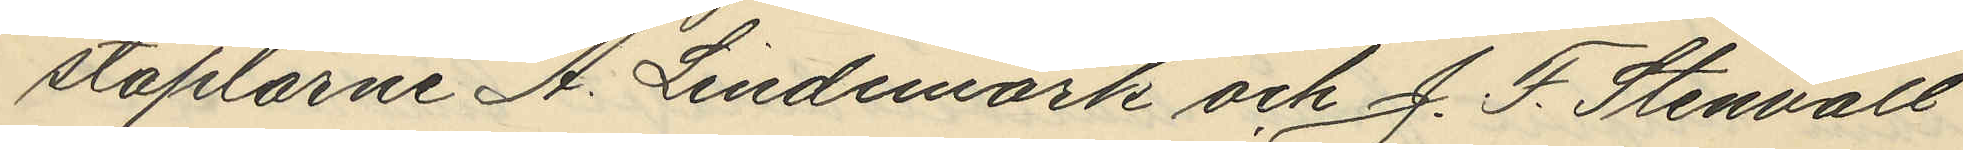staplarne A. Lindemark och J. F. Stenvall
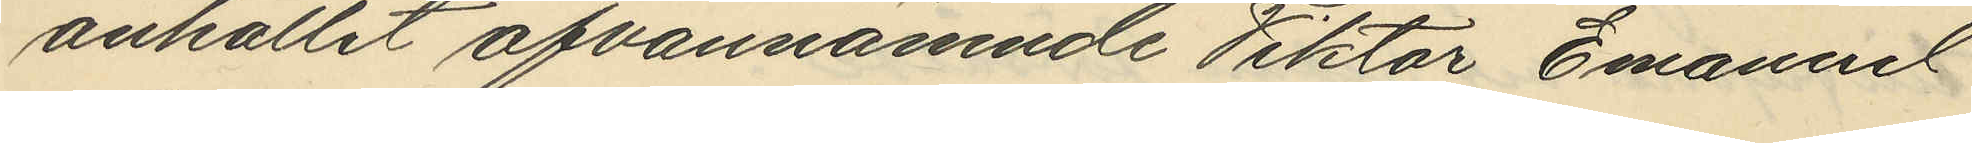anhållit ofvannämnde Viktor Emanuel
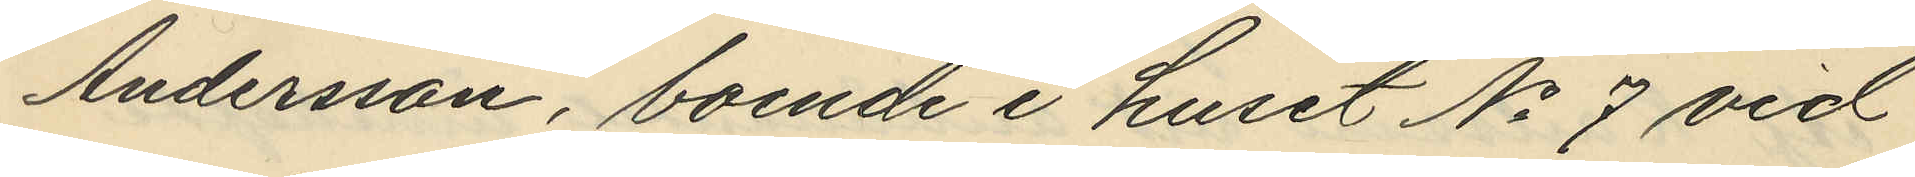Andersson, boende i huset No 7 vid
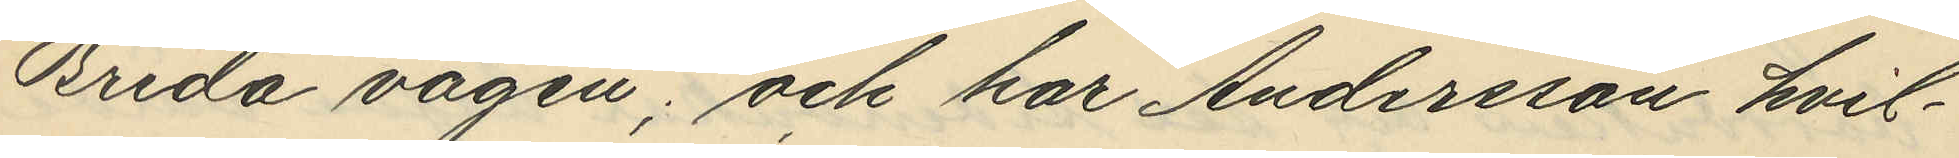Breda vägen; och har Andersson hvil¬
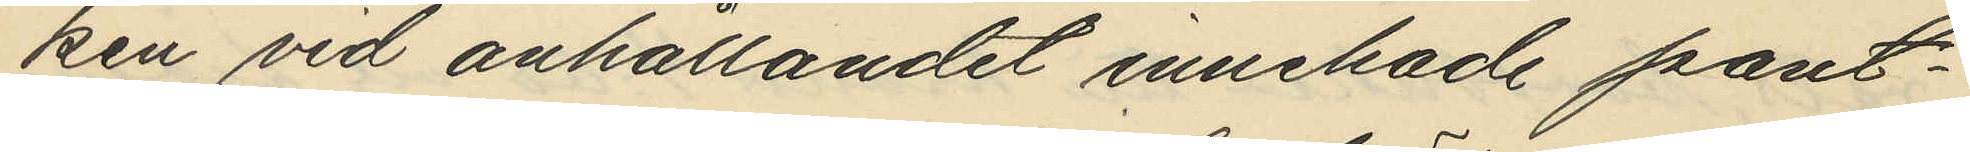ken vid anhållandet innehade pant¬
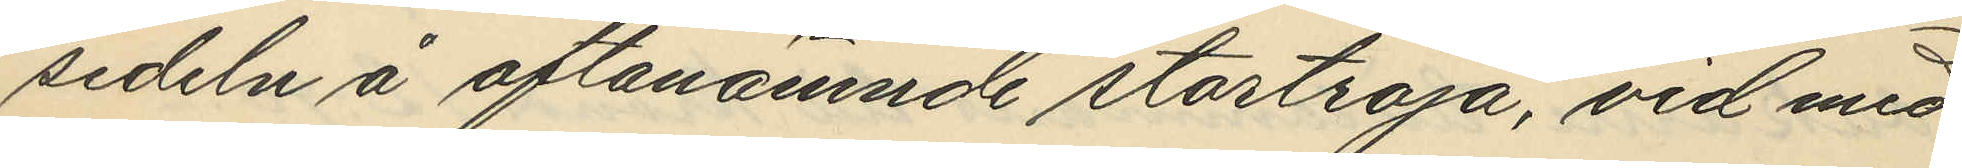sedeln å oftanämnde stortröja, vid med
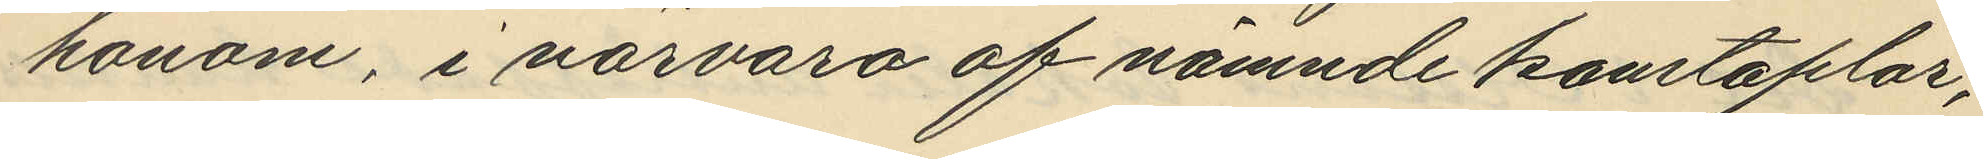honom, i närvaro af nämnde konstaplar,
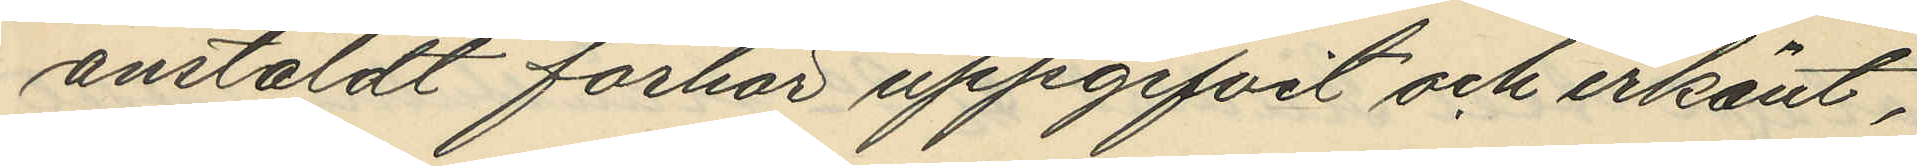anstäldt förhör uppgifvit och erkänt,
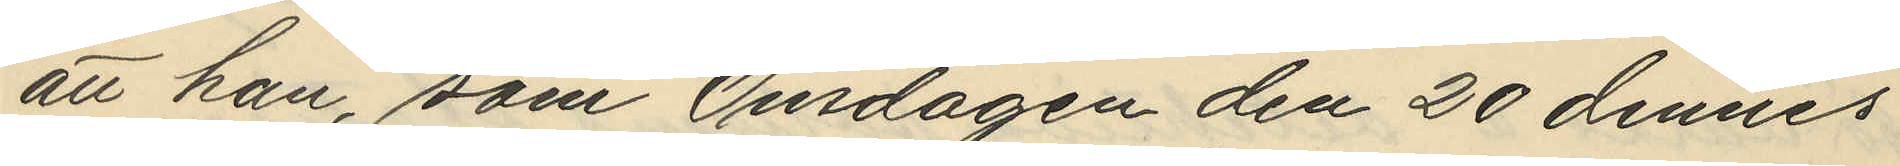att han, som Onsdagen den 20 dennes
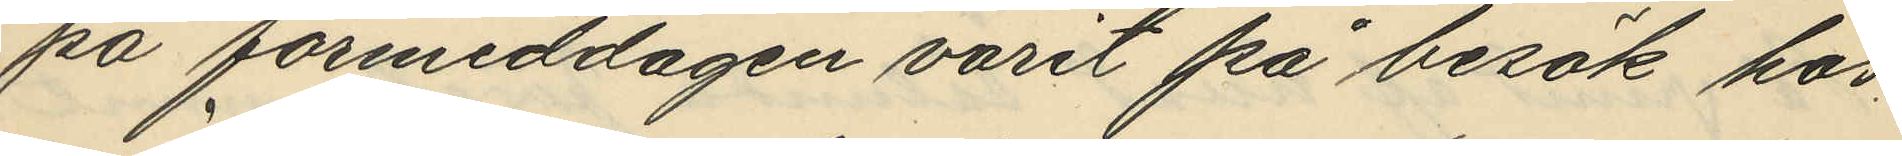på förmiddagen varit på besök hos,
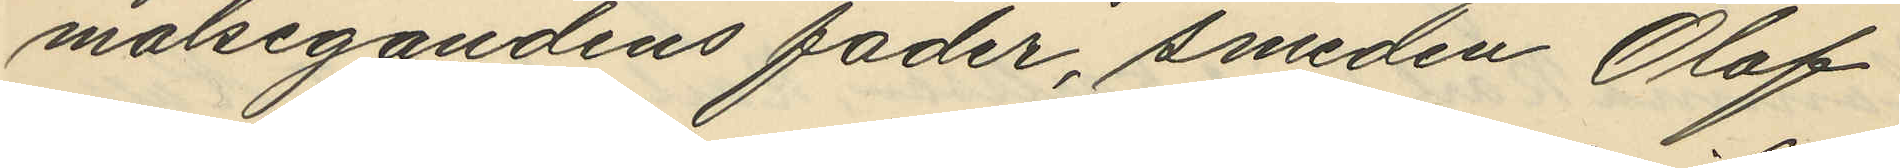målsegandens fader, smeden Olof
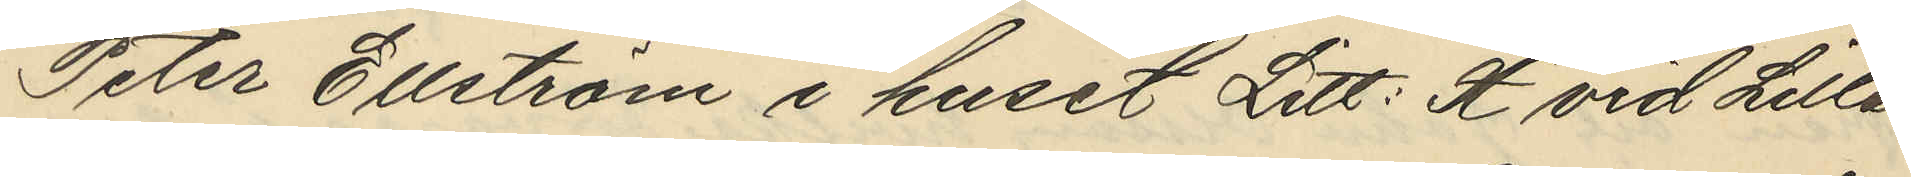Peter Ellström i huset Litt: H vid Lille
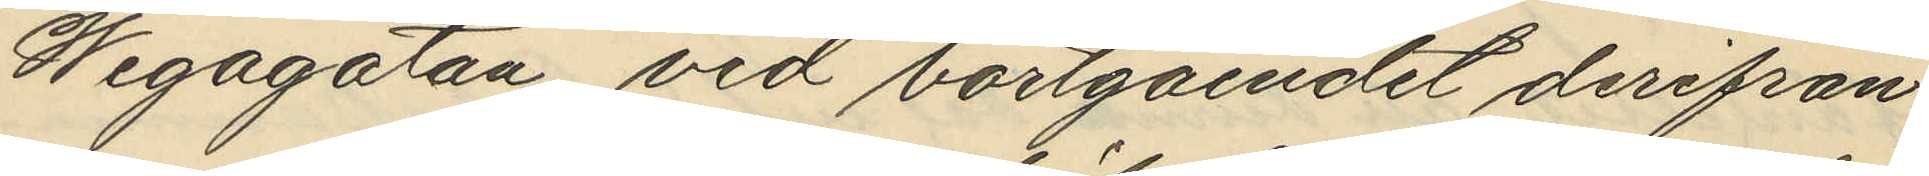Wegagatan vid bortgåendet derifrån
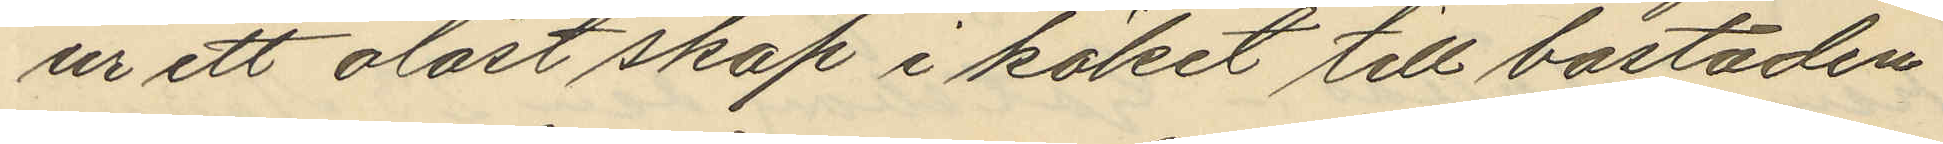ur ett olåst skåp i köket till bostaden
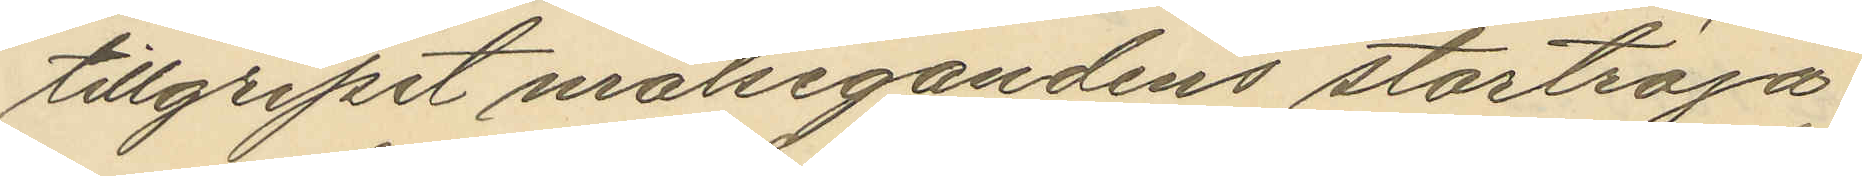tillgripit målsegandens stortroja,
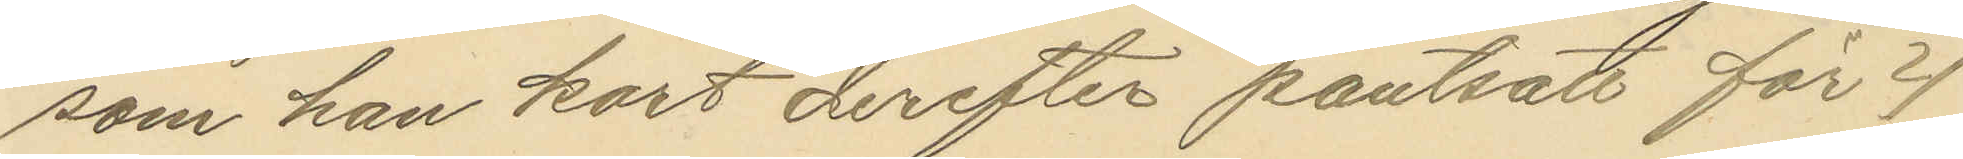som han kort derefter pantsatt för 4
